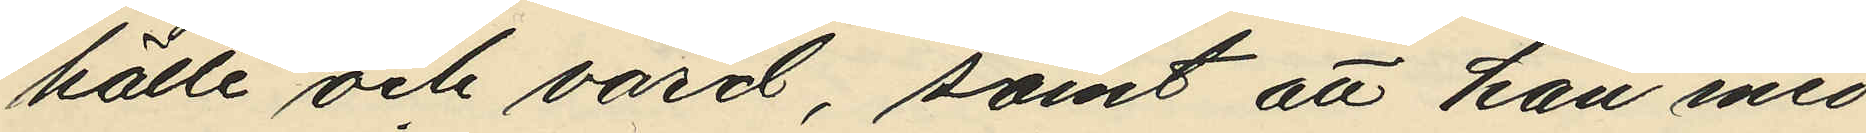hälle och vård, samt att han med
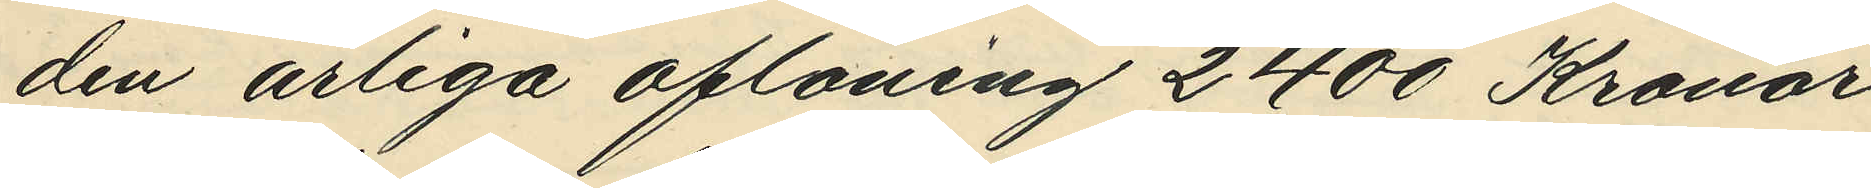den årliga aflöning 2400 Kronor
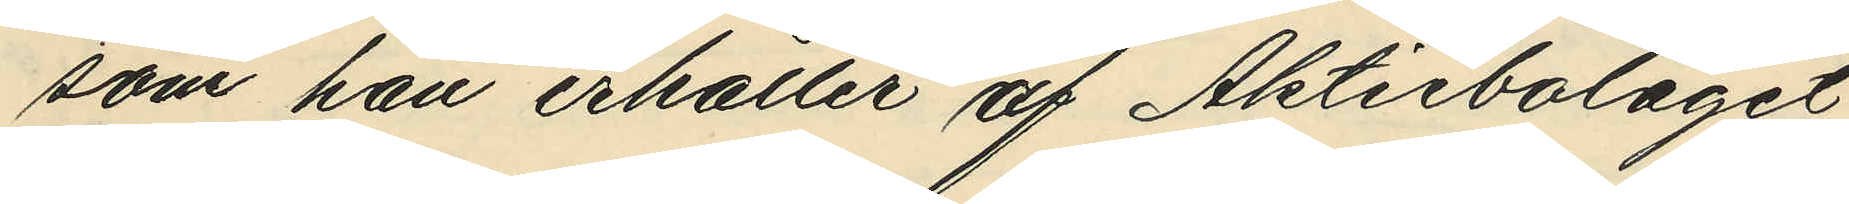som han erhåller af Aktiebolaget
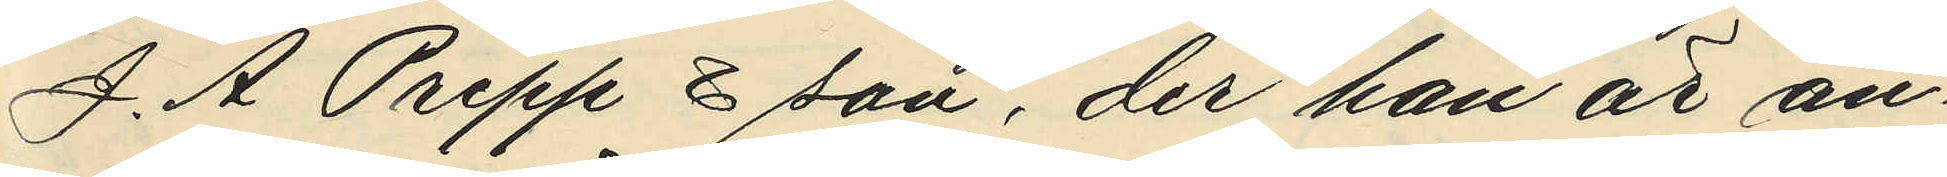J. A Pripp & son, der han är an¬
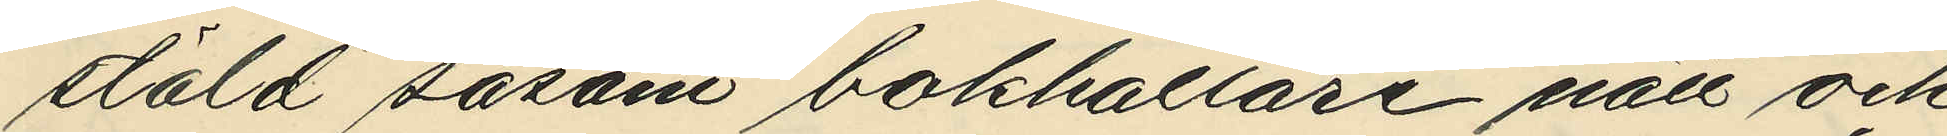stäld såsom bokhållare nätt och
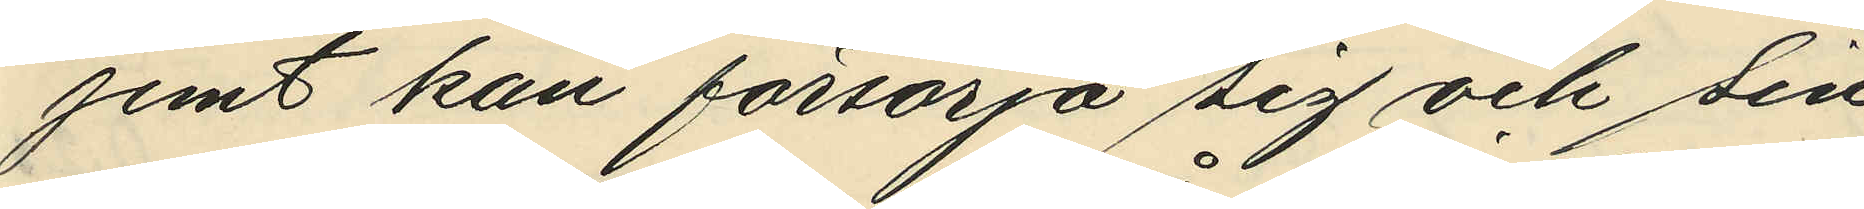jemt kan försörja sig och sin
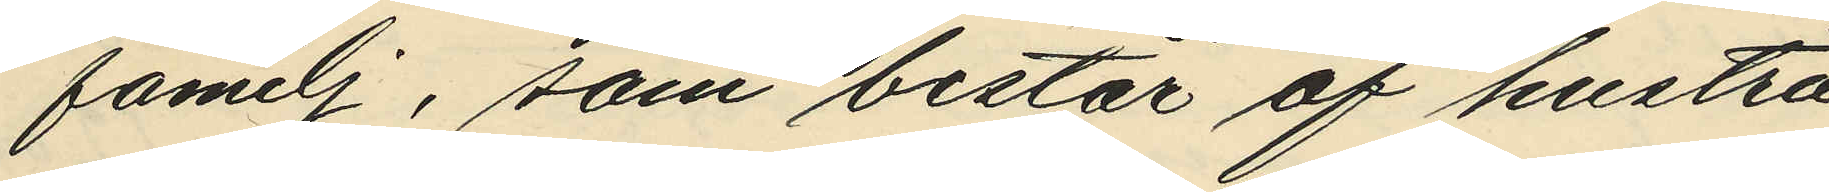familj, som består af hustru
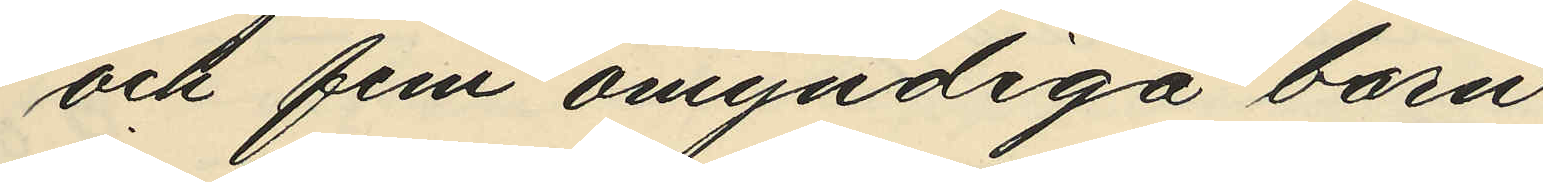och fem omyndiga barn.
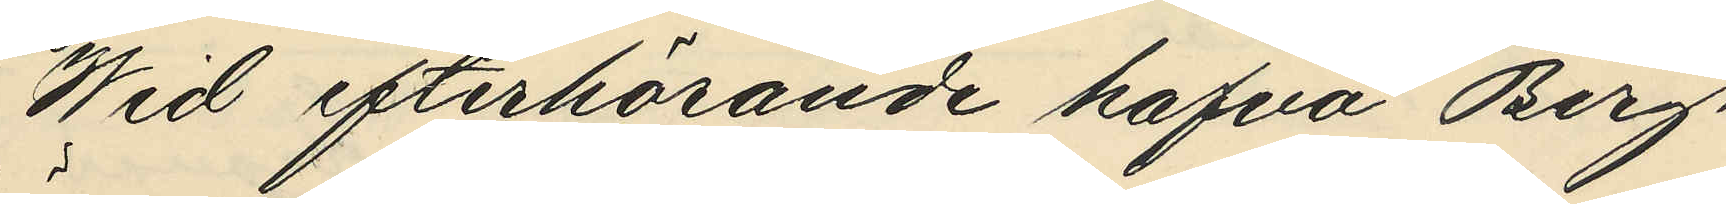Wid efterhörande hafva Berg¬
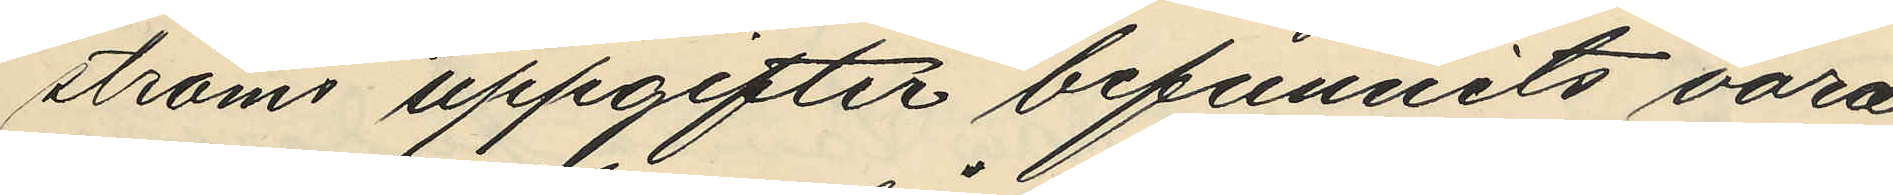ströms uppgifter befunnits vara
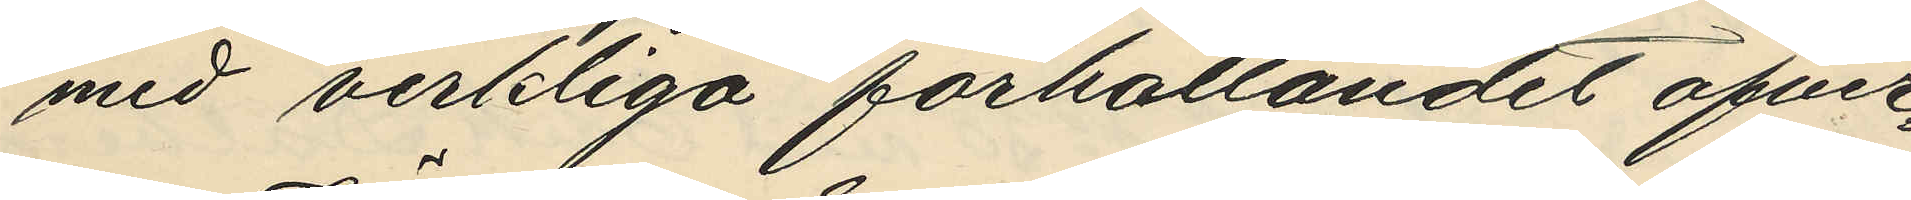med verkliga förhållandet öfver¬
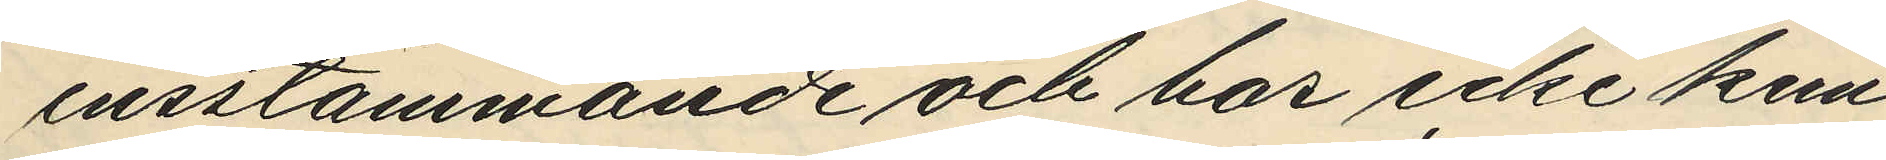ensstämmande och har icke kun¬
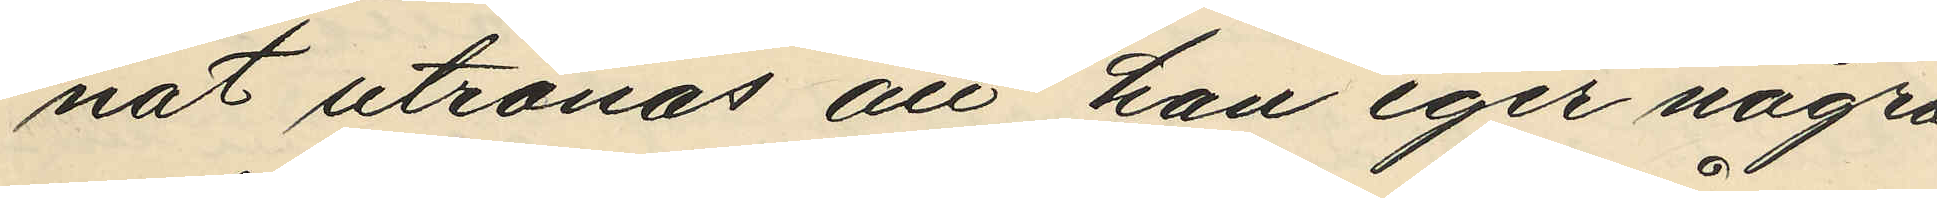nat utrönas att han eger några
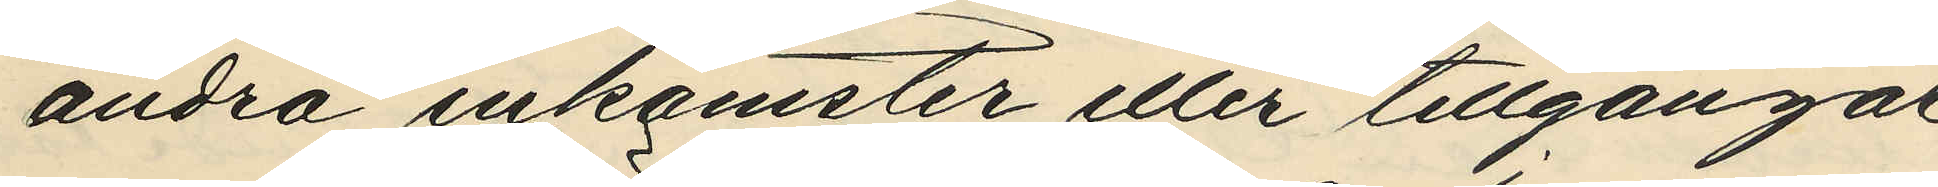andra inkomster eller tillgångar
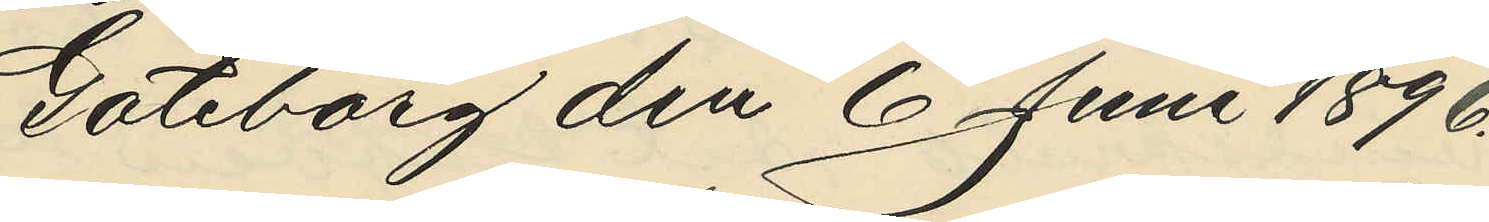Göteborg den 6 Juni 1896.
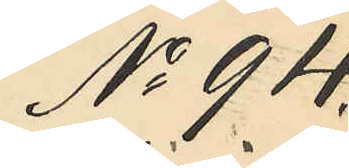No 94.
